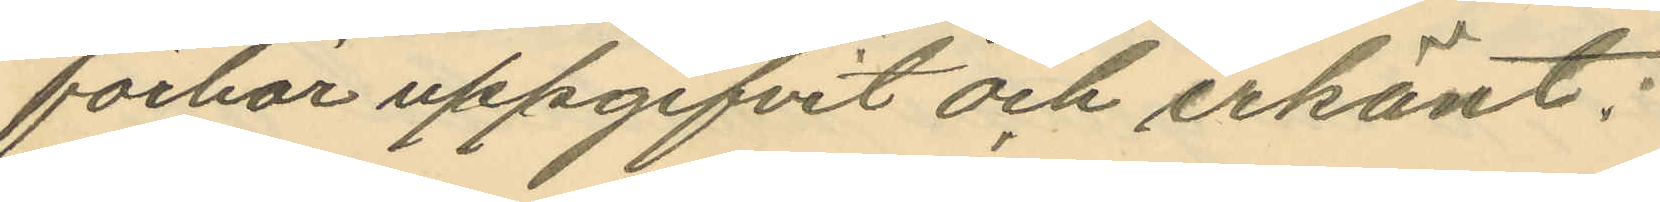förhör uppgifvit och erkänt:
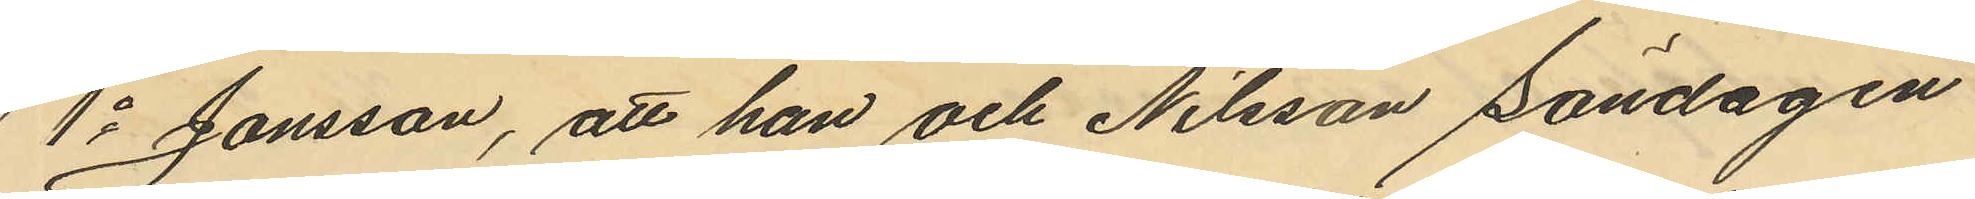1o Jonsson, att han och Nilsson Söndagen
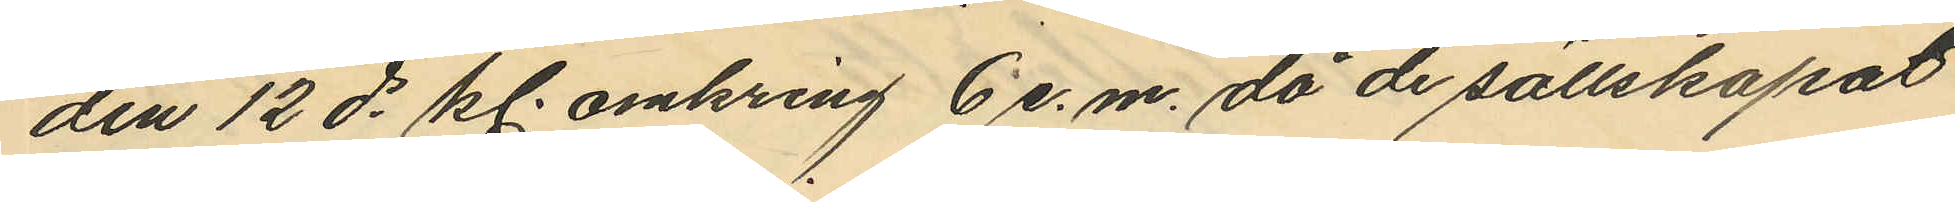den 12 ds kl. omkring 6 e.m. då de sällskapat
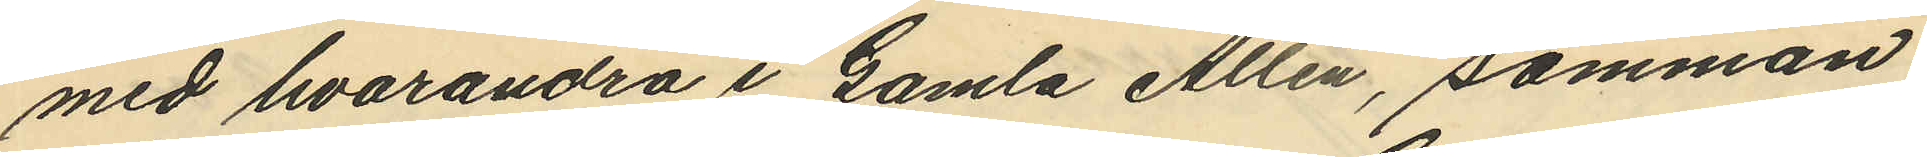med hvarandra i Gamla Allén, samman
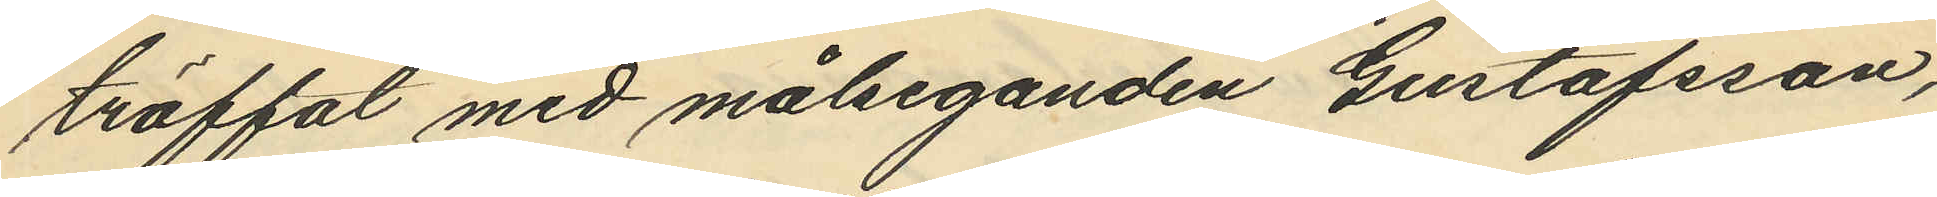träffat med målseganden Gustafsson,
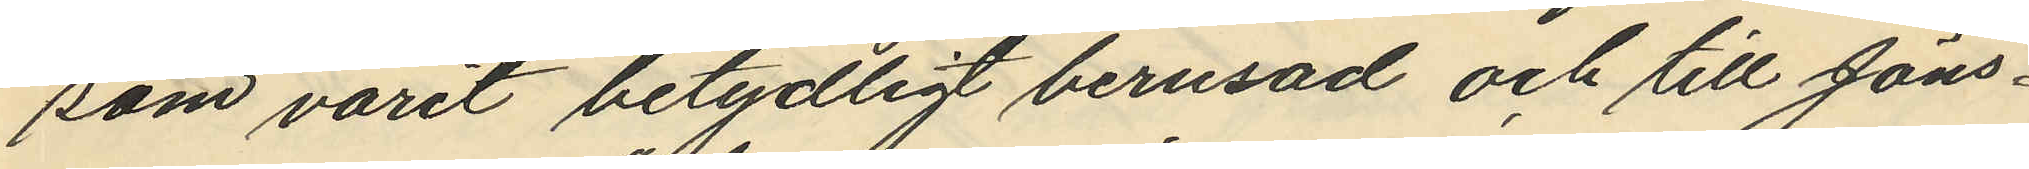som varit betydligt berusad och till Jöns¬
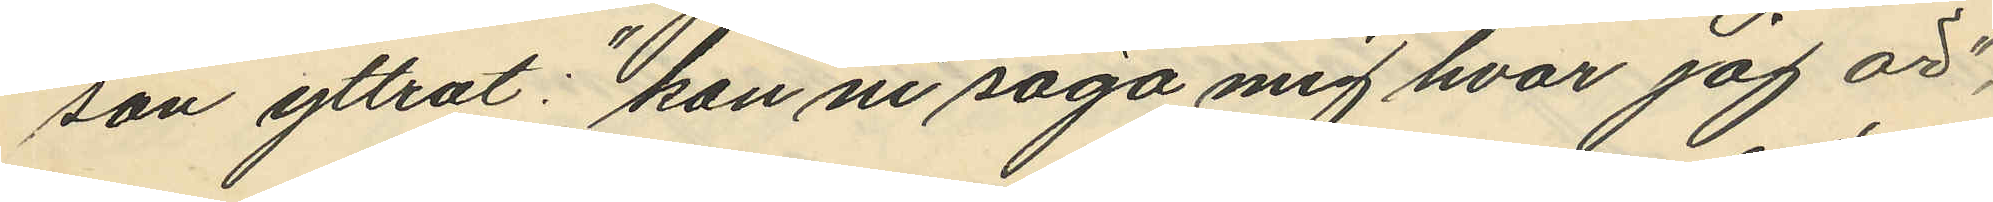son yttrat: "kan ni säga mig hvar jag är",
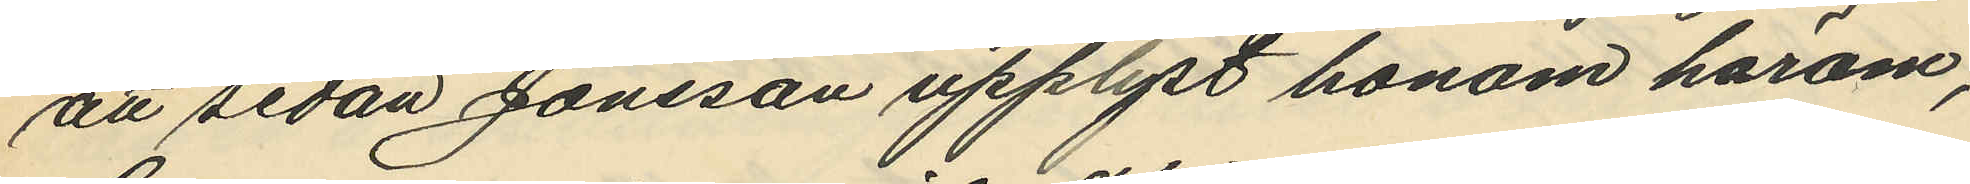att sedan Jonsson upplyst honom härom,
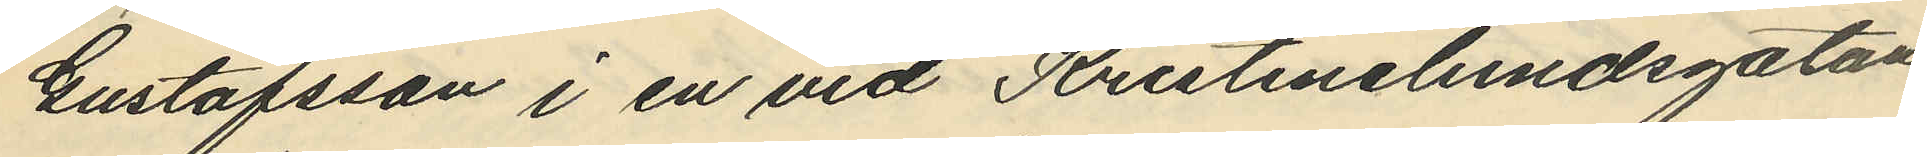Gustafsson i en vid Kristinelundsgatan
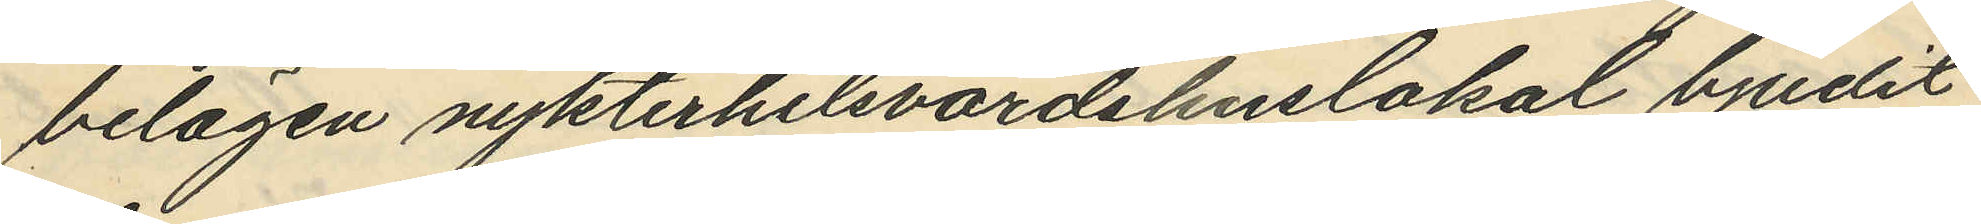belägen nykterhetsvärdshuslokal bjudit
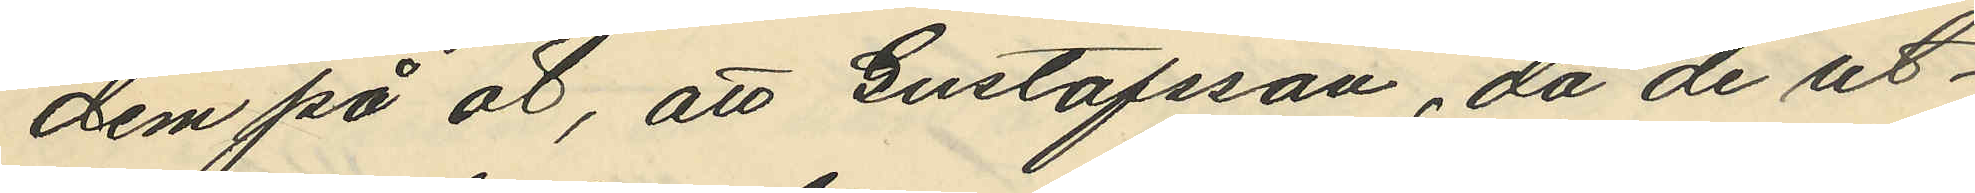dem på öl, att Gustafsson, då de ut¬
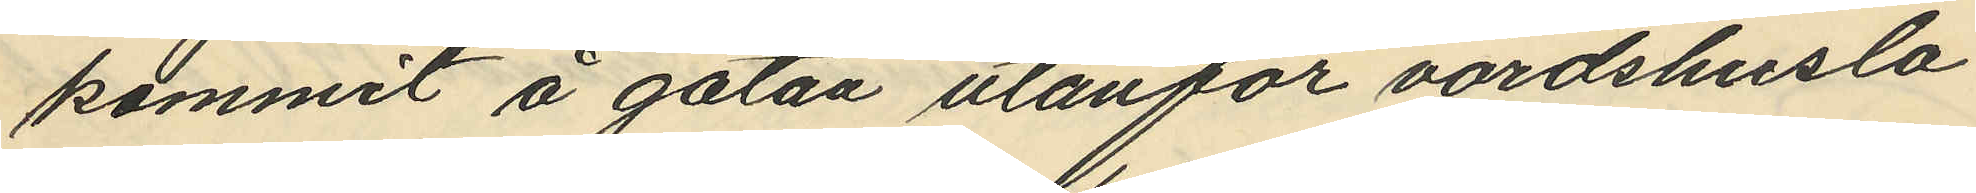kommit å gatan utanför värdshuslo¬
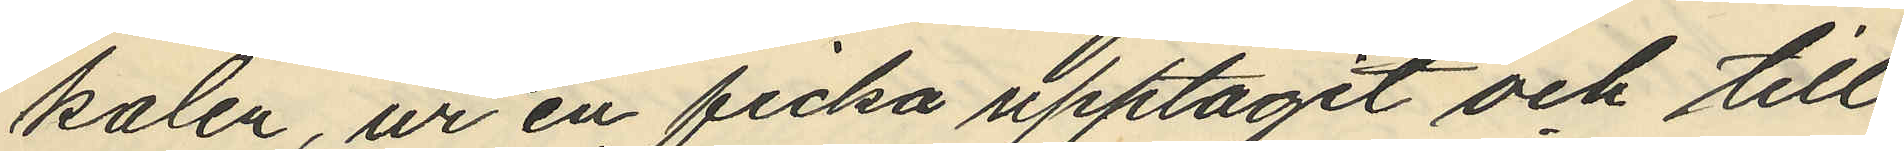kalen, ur en ficka upptagit och till
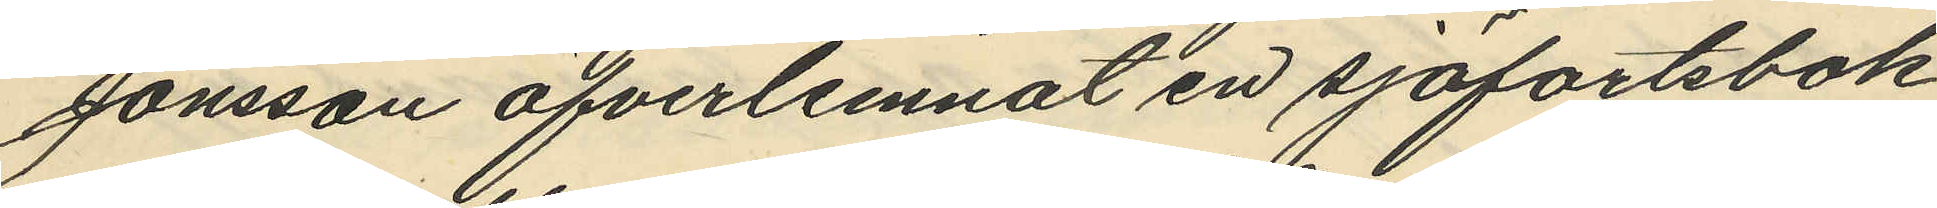Jonsson öfverlemnat en sjöfartsbok
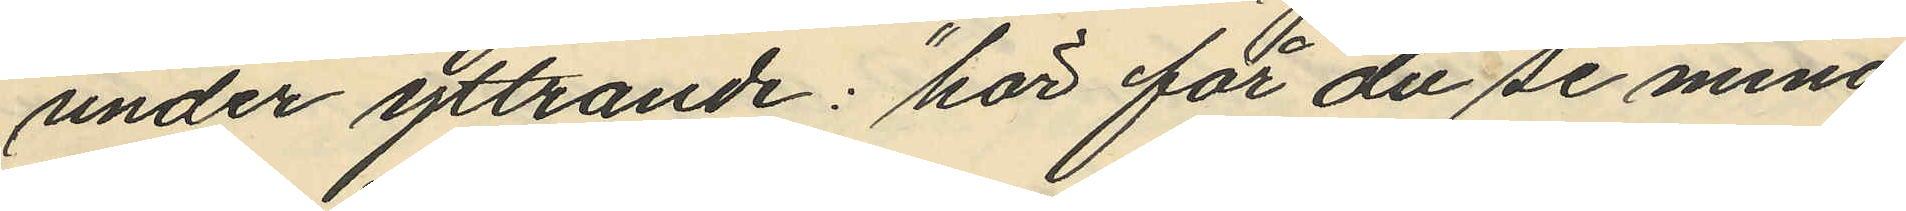under yttrande: "här får du se mina
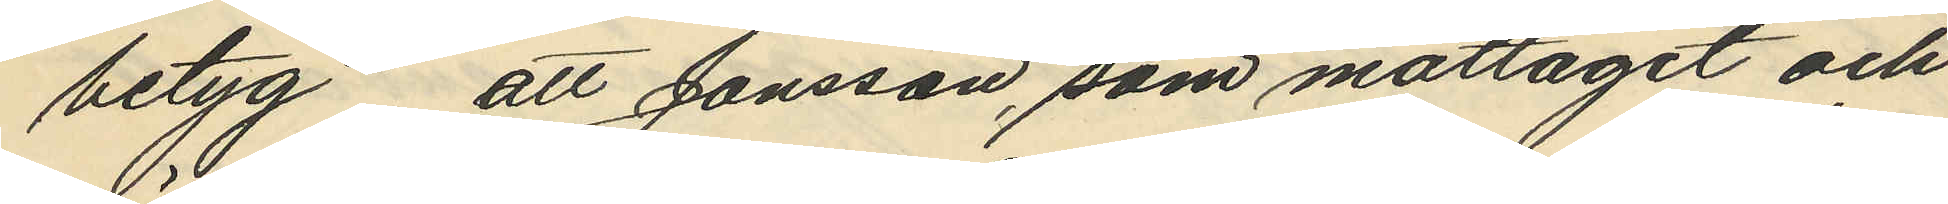betyg", att Jonsson, som mottagit och
